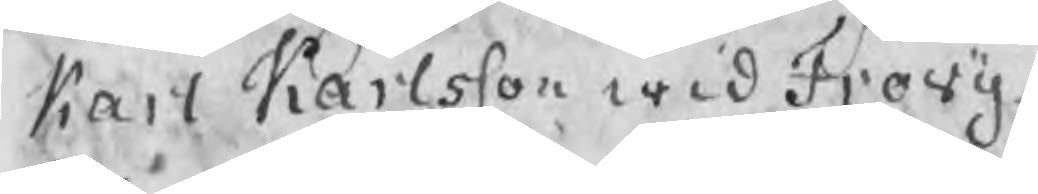Karl Karlsson wid Frovij
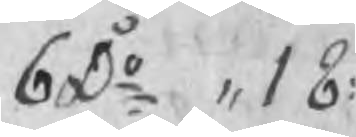6 Do ,, 18:
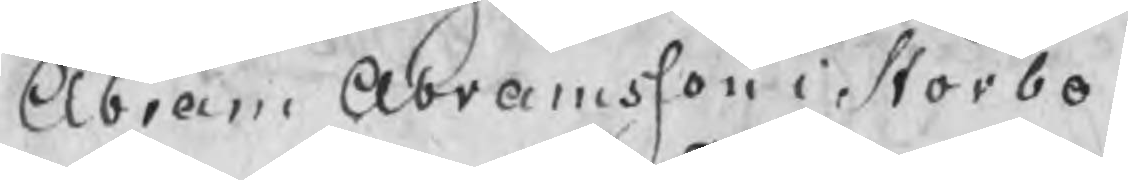Abram Abramsson i Storbo
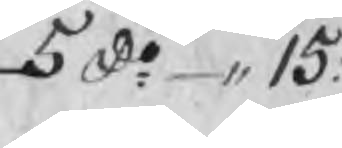5 do ,,15:
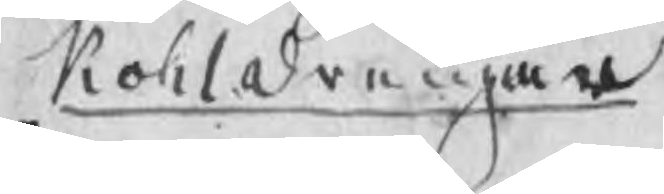Kohldrengar
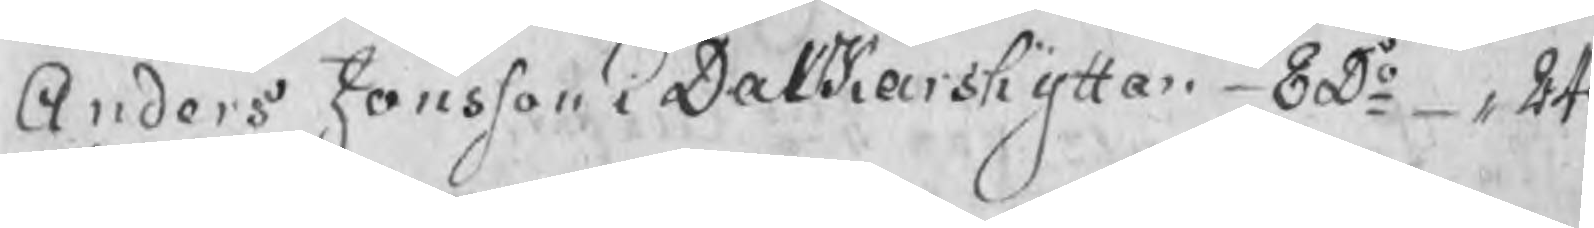Andres Jonsson i Dalkarshyttan 8 Do ,,n24
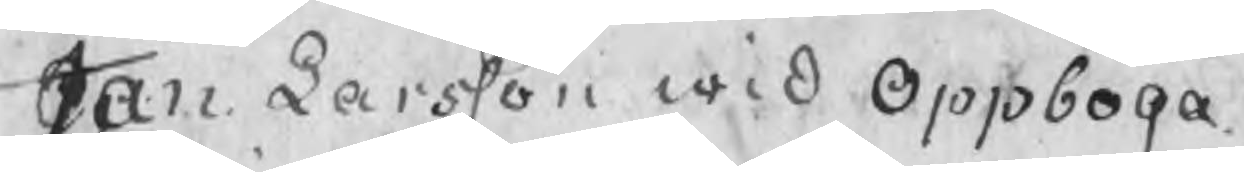Jan Larsson wid Oppboga
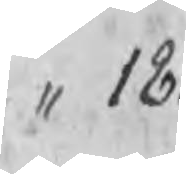" 18:
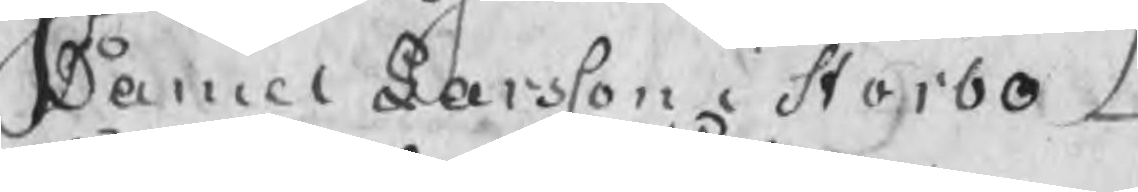Daniel Larsson i Storbo
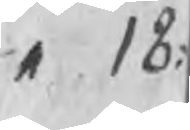,, 18:
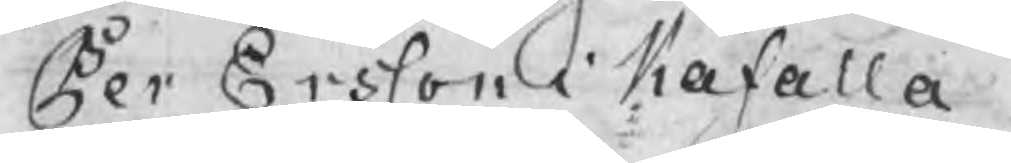Per Ersson i Kåfalla
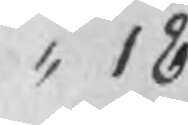" 18
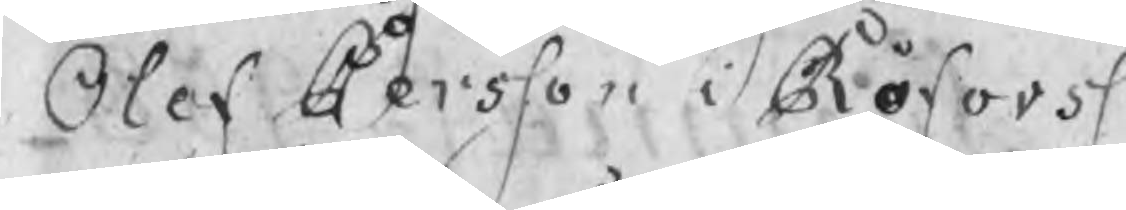Olof Persson i Röforss
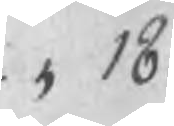" 18:
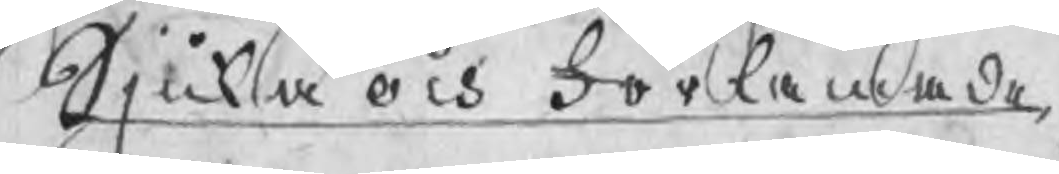Sjuka och Förlamade
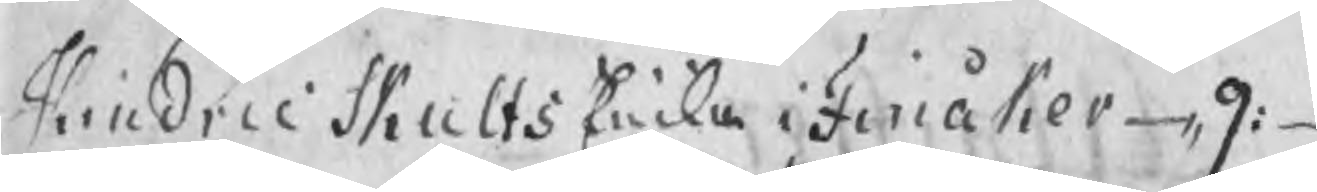Hindric Skults Enka i Finåker 9:
